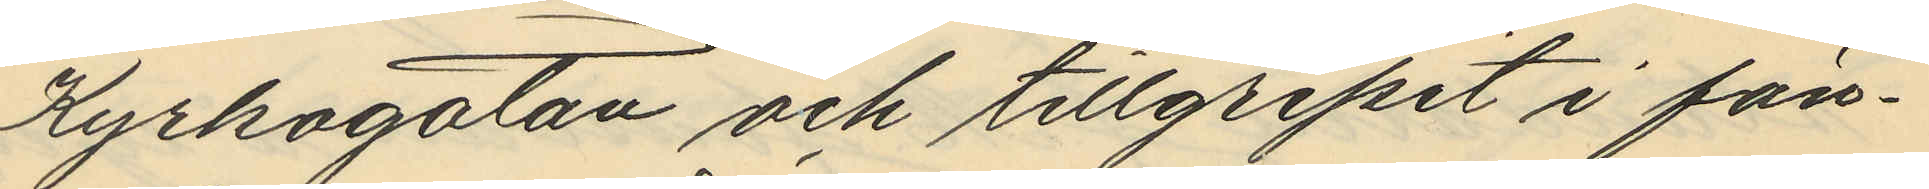Kyrkogatan och tillgripit i fön¬
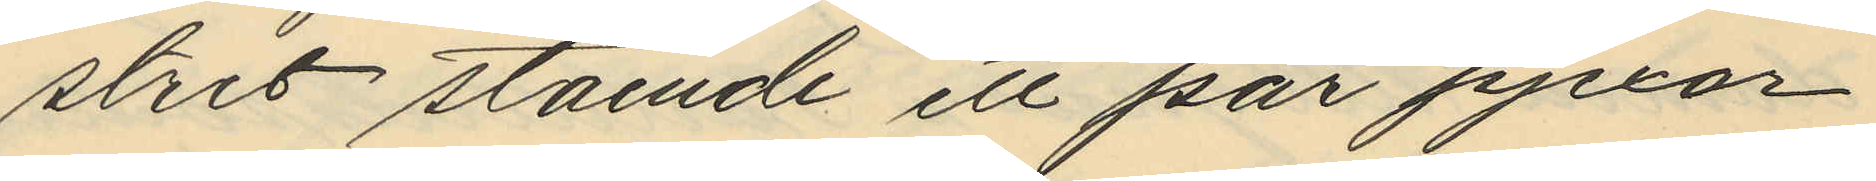stret stående ett par pjexor
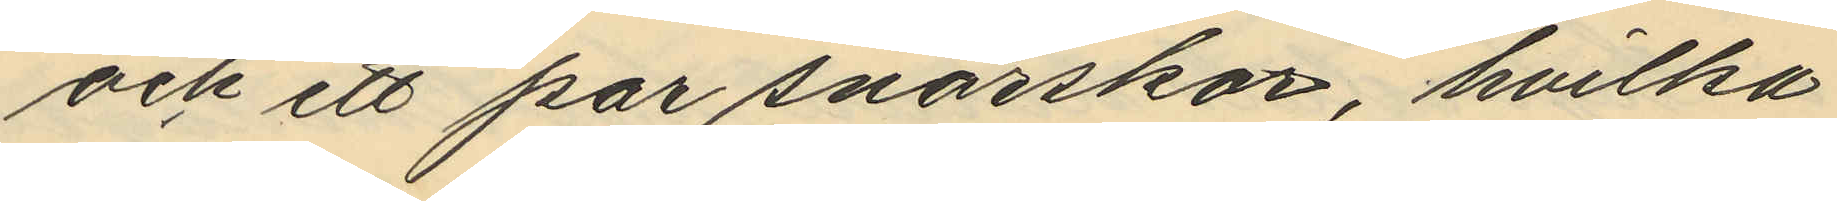och ett par snörskor, hvilka
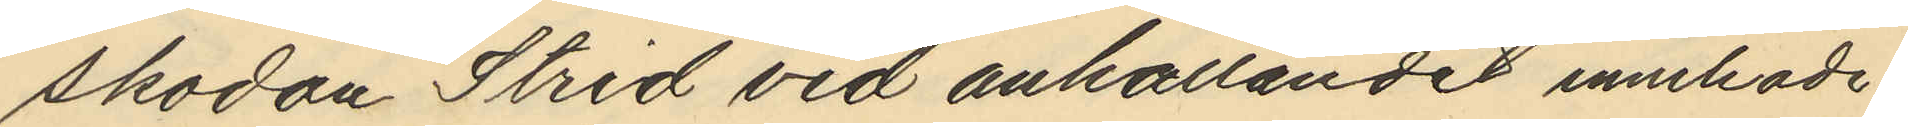skodon Strid vid anhållandet innehade;
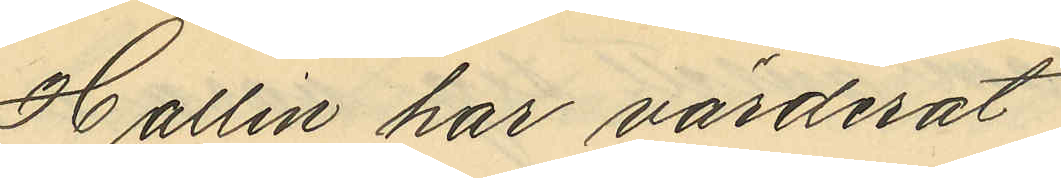Hallin har värderat
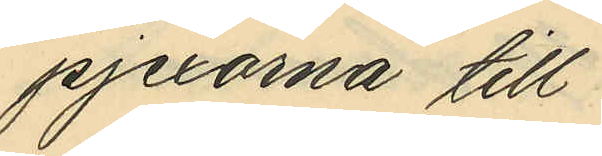pjexorna till
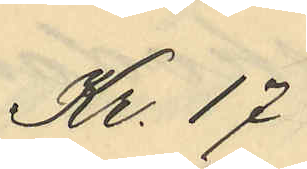Kr. 17.
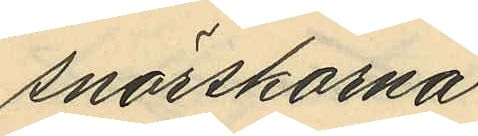snörskorna
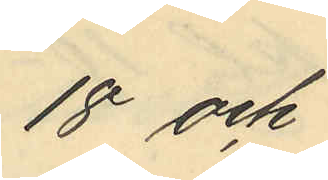18 och
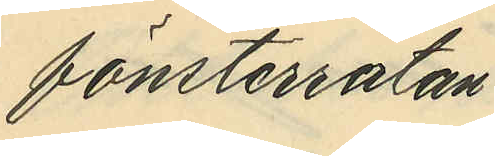fönsterrutan
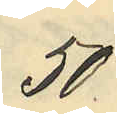50
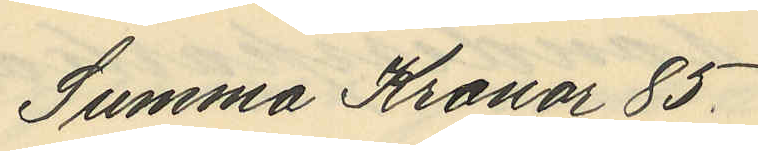Summa Kronor 85.
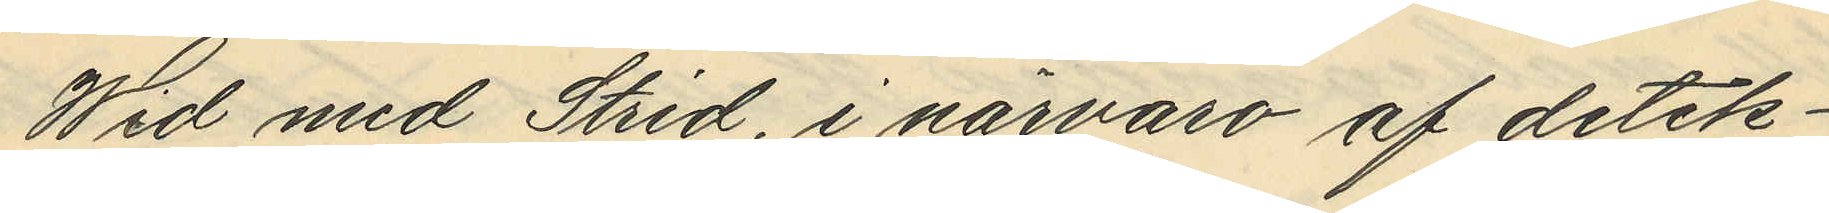Wid med Strid, i närvaro af detek¬
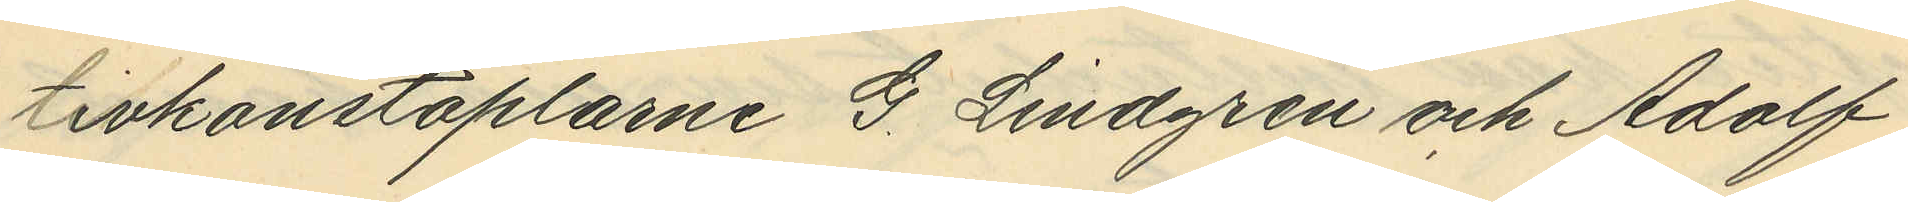tivkonstaplarne G. Lindgren och Adolf
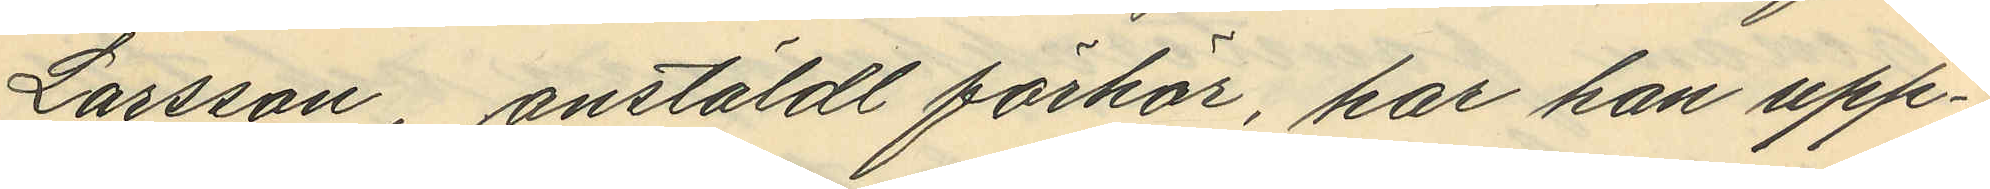Larsson, anstäldt förhör, har han upp¬
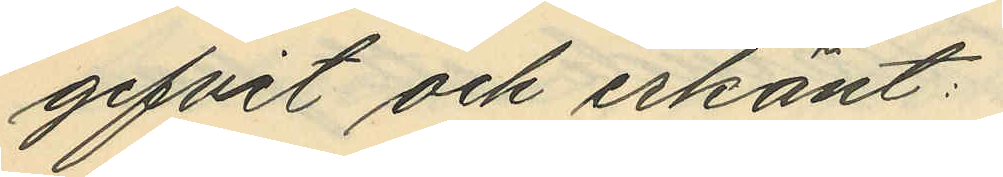gifvit och erkänt:
